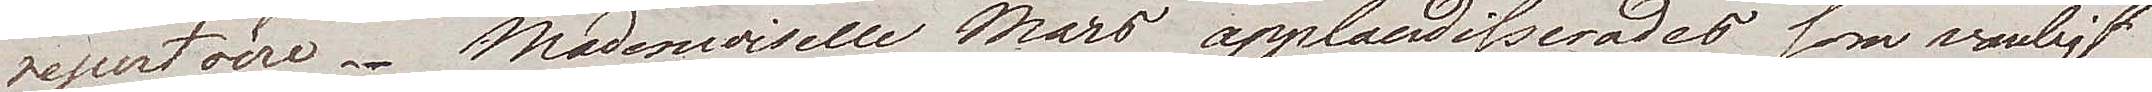repertoar. Mademoiselle Maro applaudiserades som vanligt
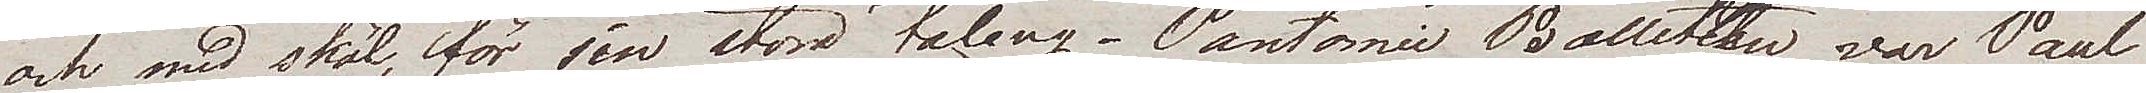och med skäl, för sin stora talang. Pantomie Balletten var Paul
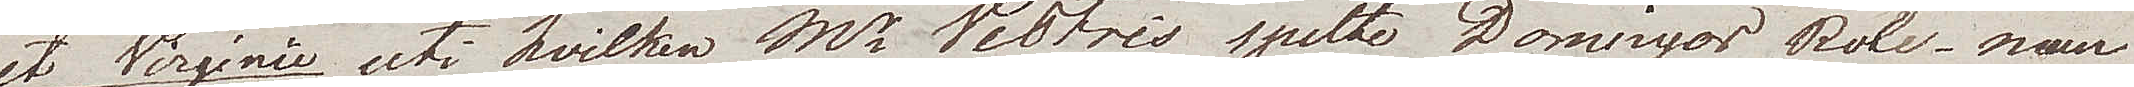et Virginie uti hvilken M. Westris spelte Dominiques Role – man
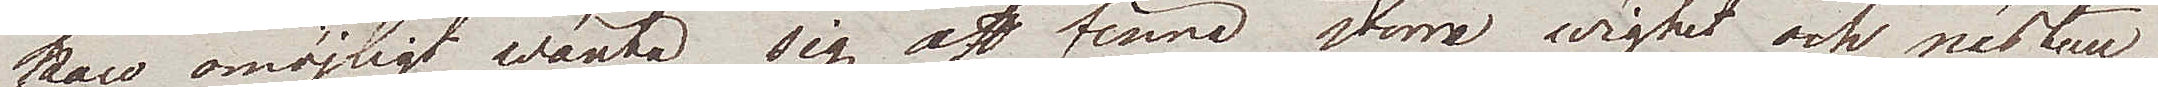kan omöjligt wänta sig att finna större wighet och nästan
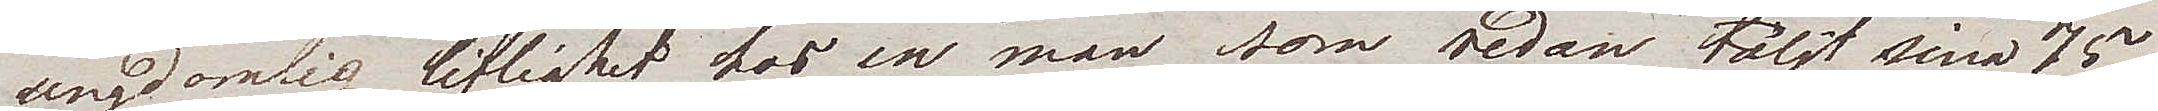ungdomlig liflighet hos en man som redan täljt sina 75
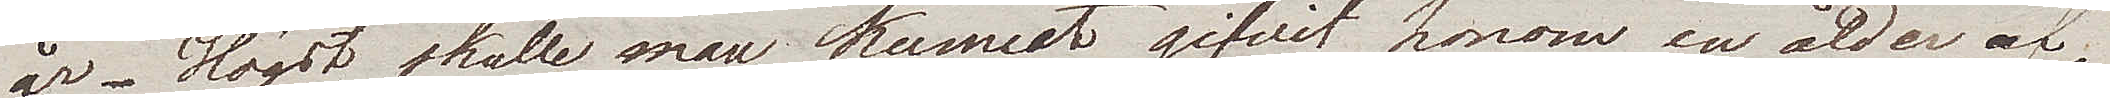år. Högst skulle man kunnat gifvit honom en ålder af 
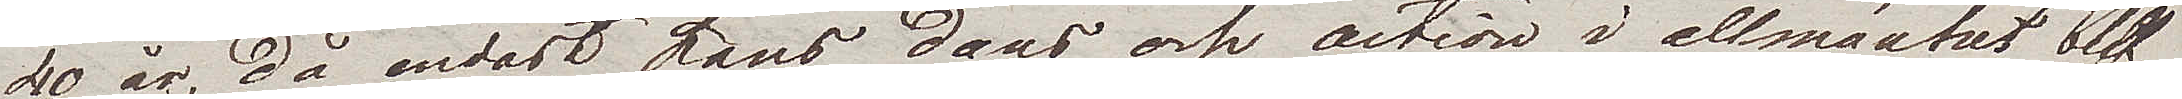40 år, då endast hans dans och action i allmänhet blif¬
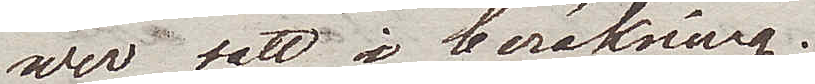wer satt i beräkning.
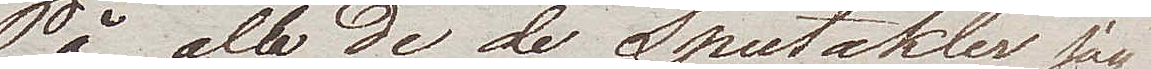På alla de Spectakler jag
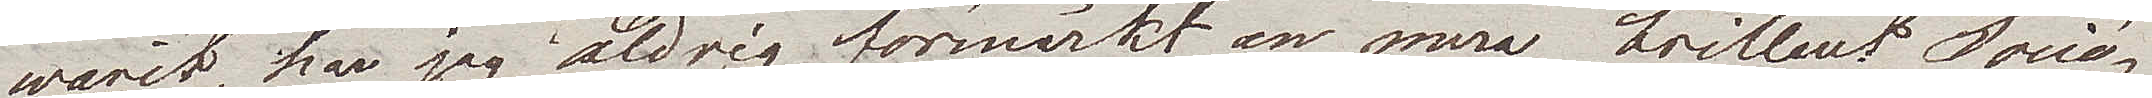warit, har jag aldrig förmärkt en mera brilliant Socié¬
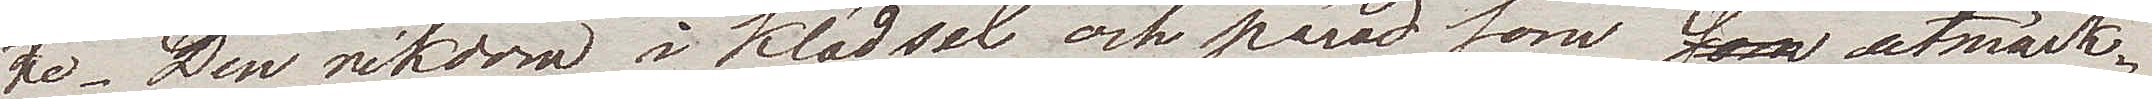te. Den rikdom i klädsel och parad som utmärk¬
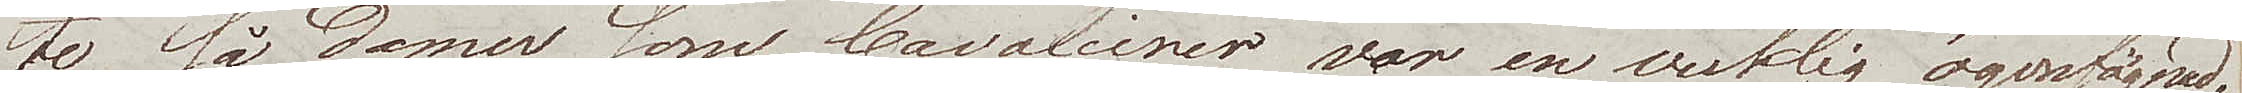te så Damer som Cavalierer war en verklig ögonfägnad.
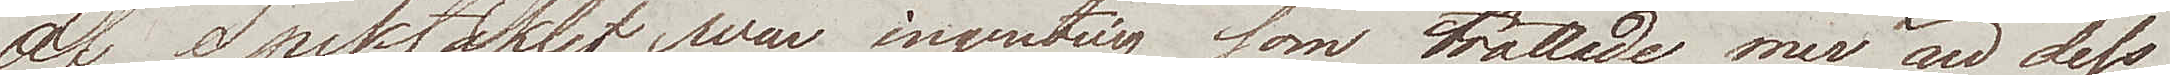Af Spektaklet war ingenting som tröttade mer än dess
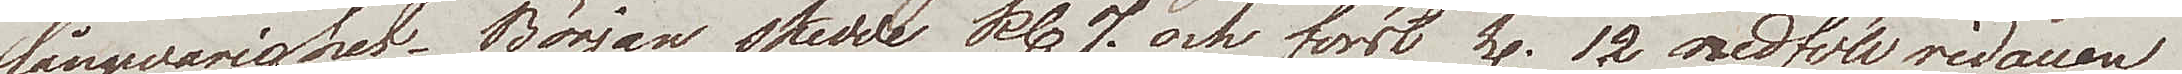långwarighet. Början skedde kl. 7. och först kl. 12 nedföll ridauen
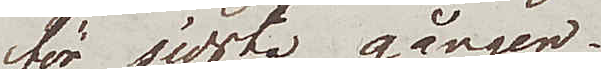för sidsta gången.
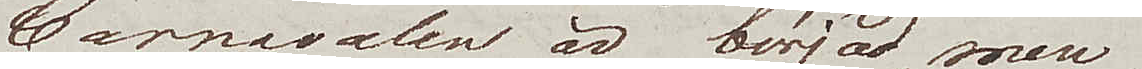Carnevalen är börjad, men
